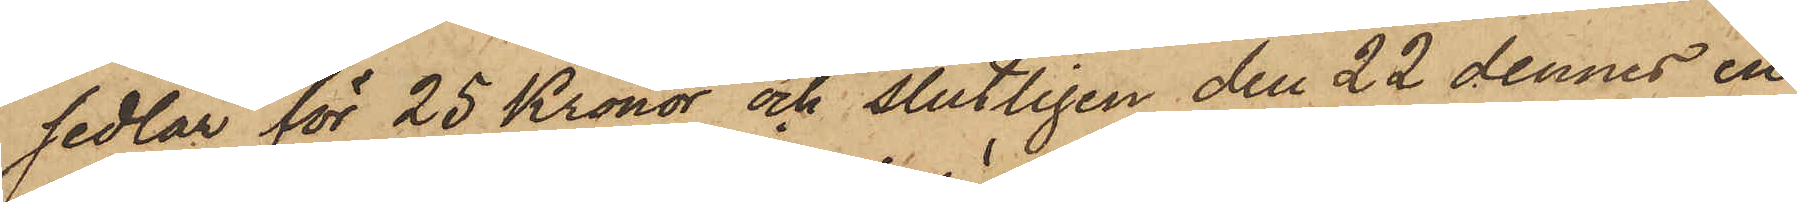sedlar för 25 Kronor och slutligen den 22 dennes en
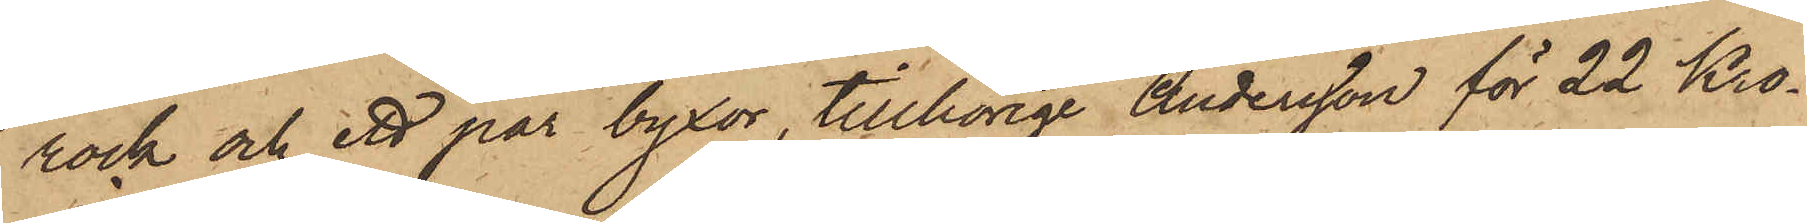rock och ett par byxor, tillhörige Andersson för 22 Kro¬
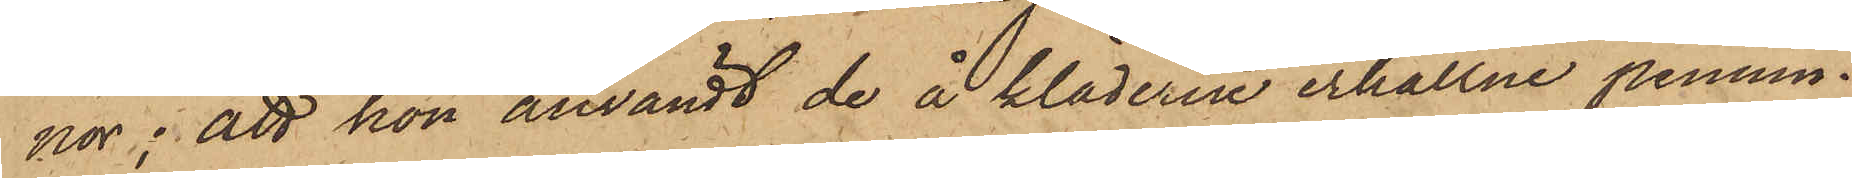nor; att hon användt de å kläderne erhållne pennin¬
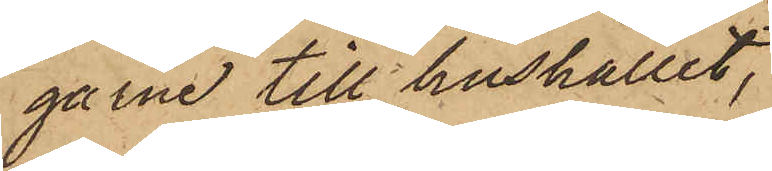garne till hushållet,
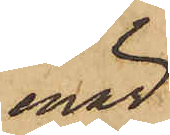enär
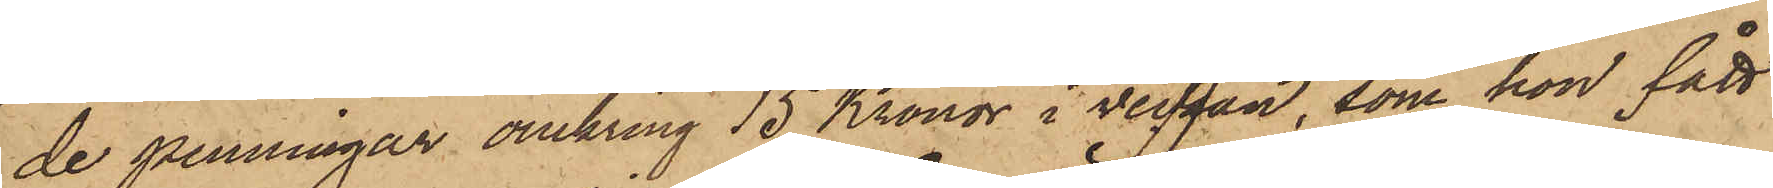de penningar omkring 15 Kronor i veckan, som hon fått
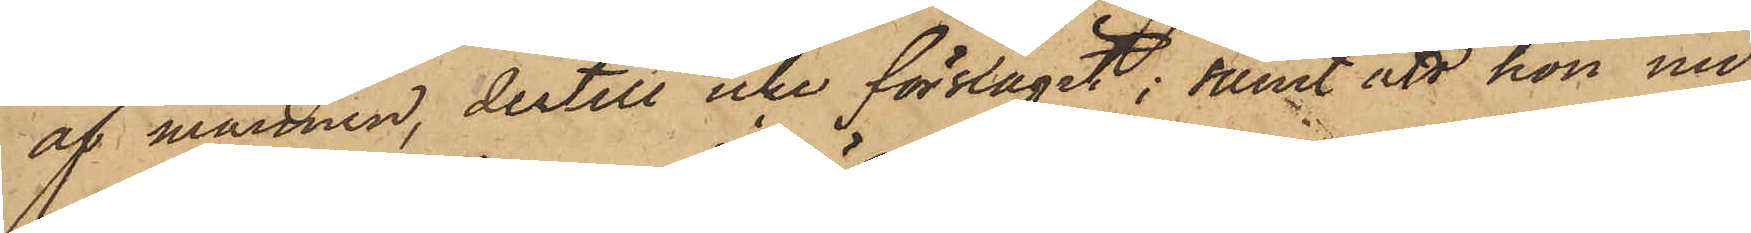af mannen, dertill icke förslagit; samt att hon nu
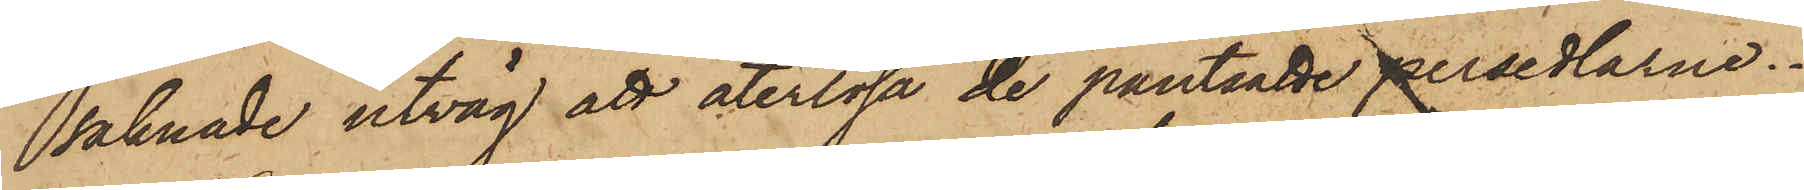saknade utväg att återlösa de pantsatte persedlarne.
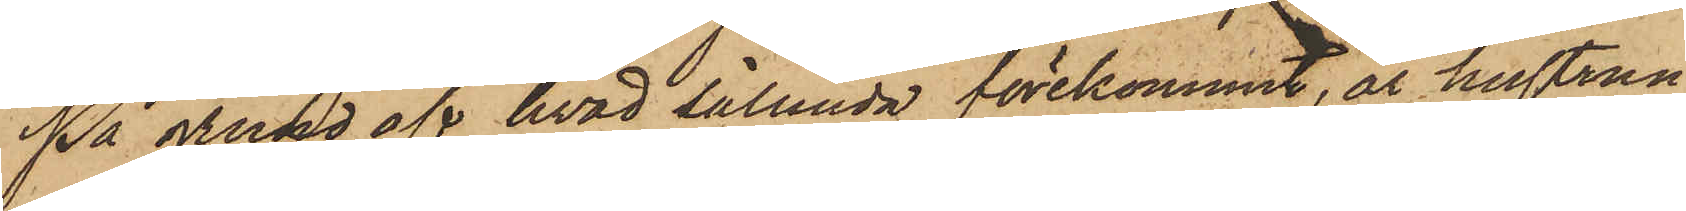På grund af hvad sålunda förekommit, är hustrun
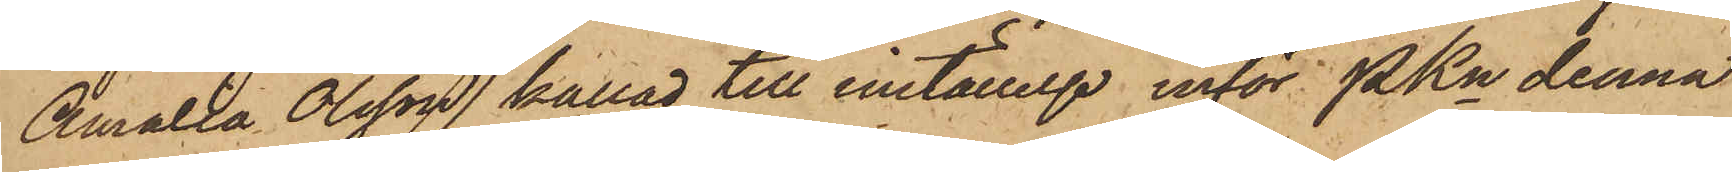Amalia Olsson kallad till inställelse inför Pkn denna
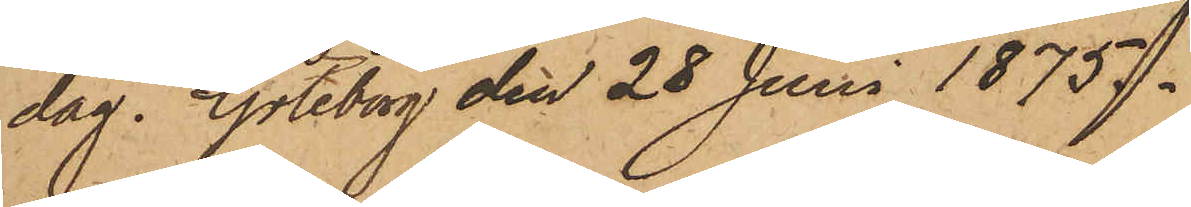dag. Göteborg den 28 Juni 1875.
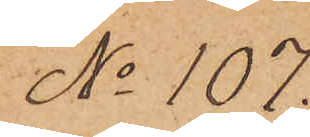No 107.
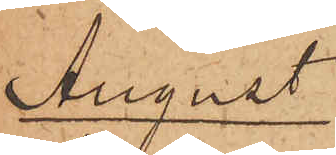August
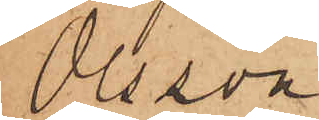Olsson
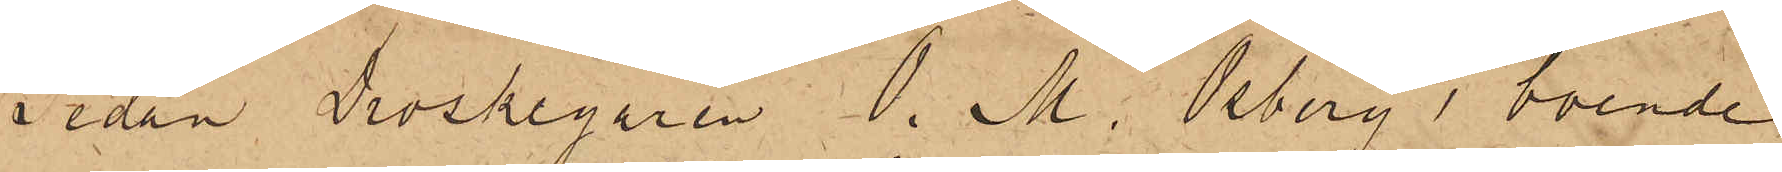Sedan Droskegaren O. M. Osberg, boende
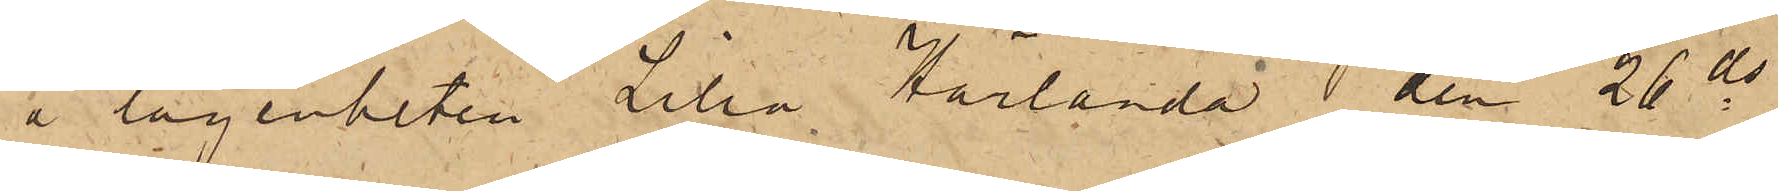å lägenheten Lilla Härlanda den 26 ds
